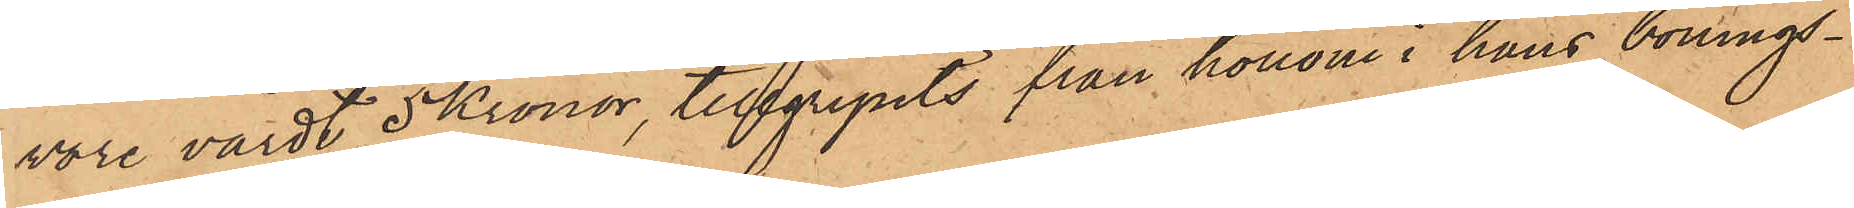vore värdt 5 Kronor, tillgripits från honom i hans bonings¬
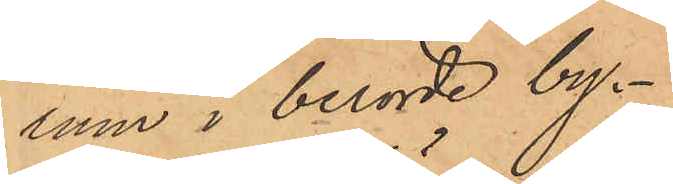rum i berörde by¬
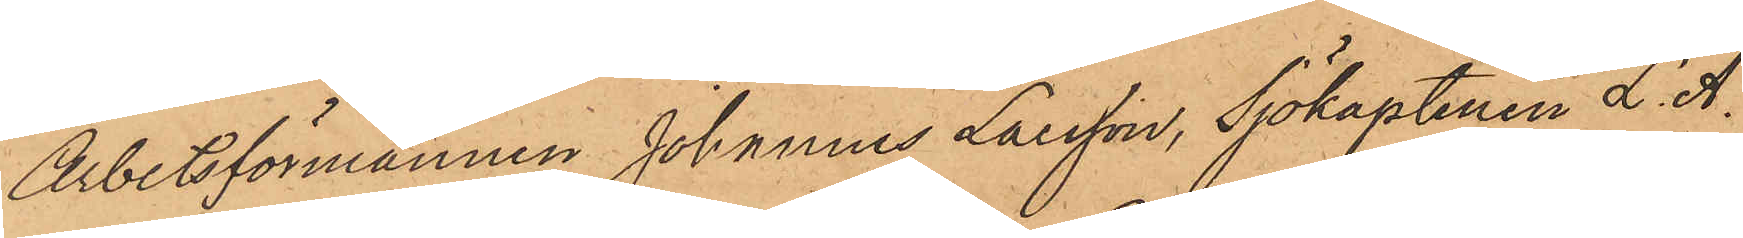Arbetsförmannen Johannes Larsson, Sjökaptenen L. A.
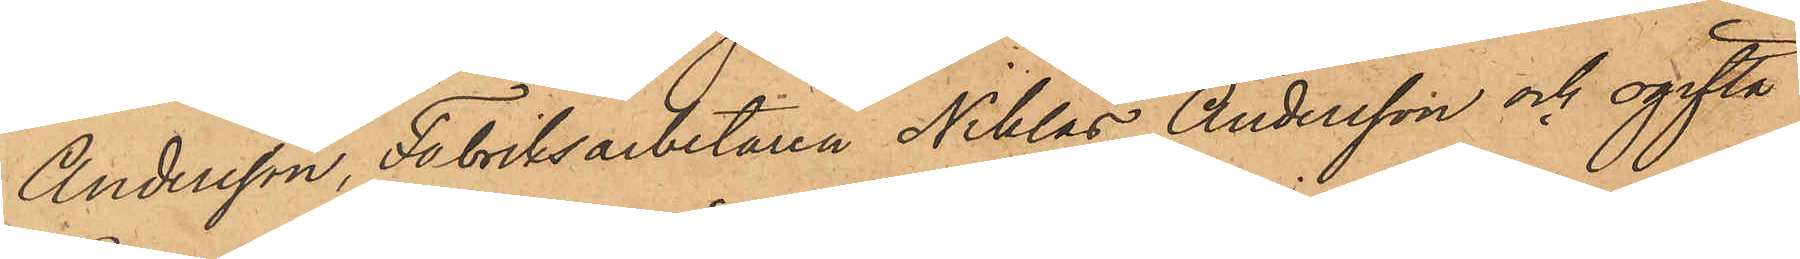Andersson, Fabriksarbetaren Niklas Andersson och ogifta
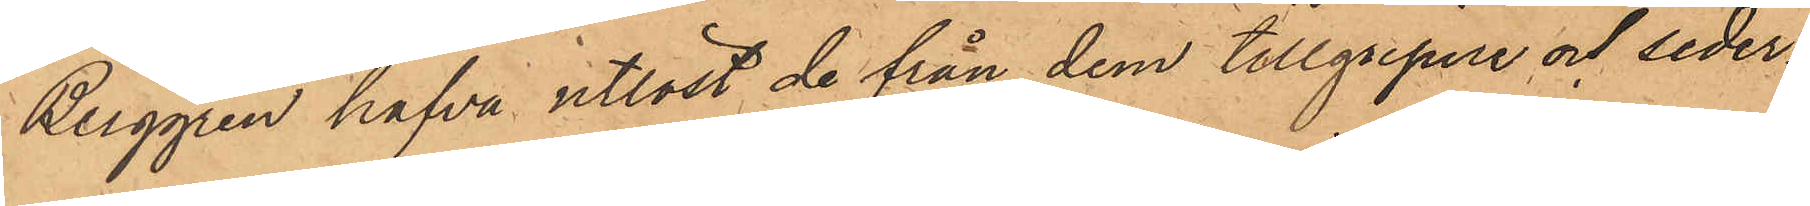Berggren hafva utlöst de från dem tillgripne och seder¬
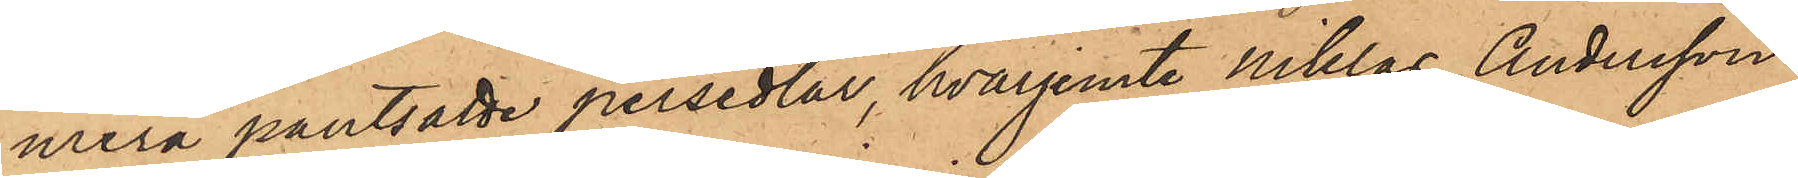mera pantsatte persedlar, hvarjemte Niklas Andersson
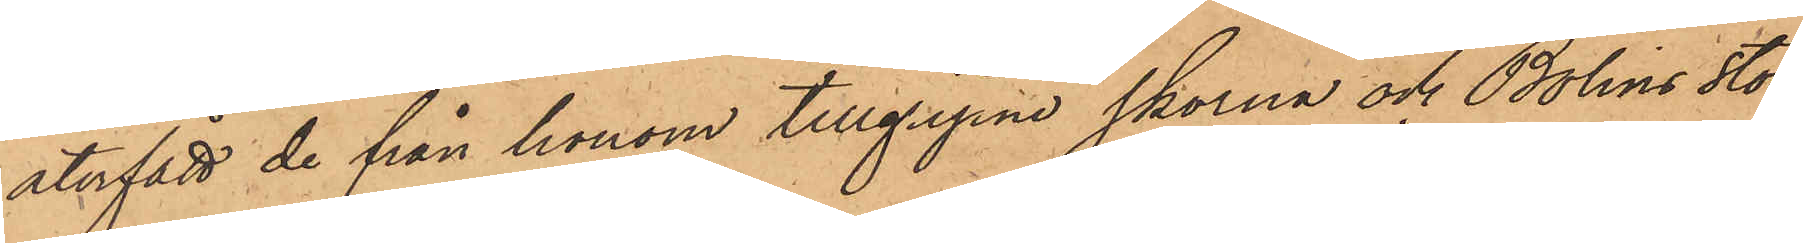återfått de från honom tillgripne skorna och Bolins stor¬
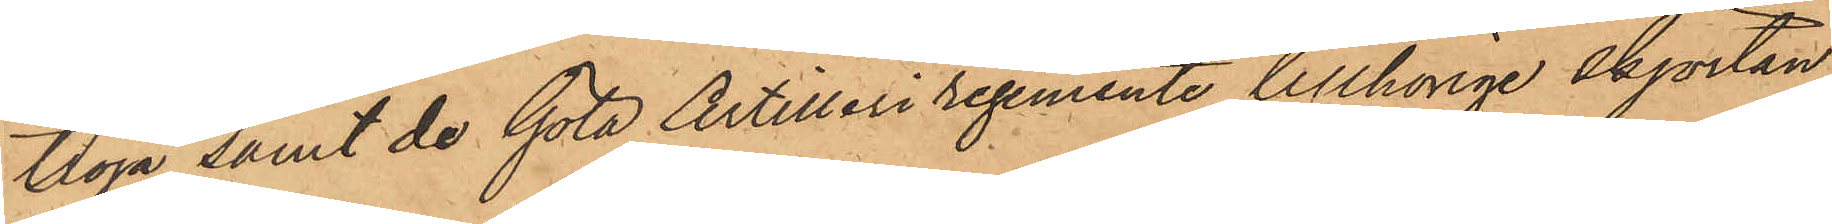tröja samt de Göta Artilleri regemente tillhörige skjortan,
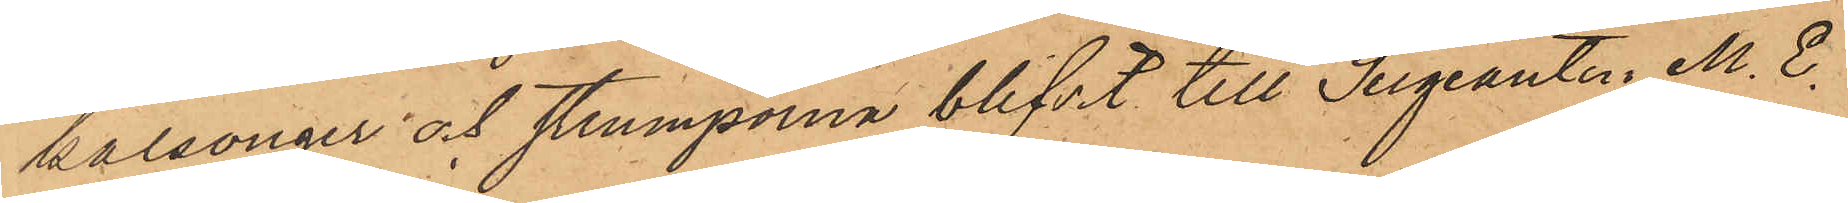kalsonger och strumporna blifvit till Segeanten M. E.
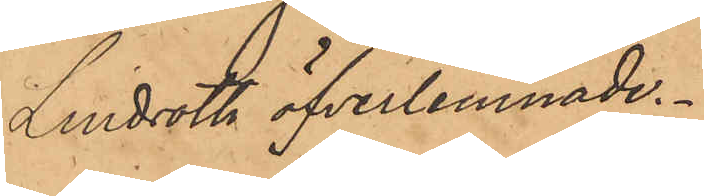Lindroth öfverlemnade.
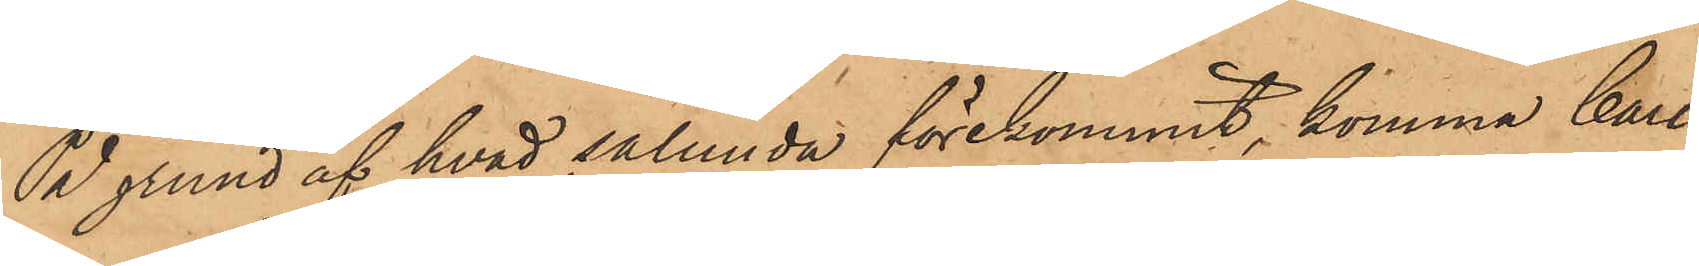På grund af hvad sålunda förekommit, komma Carl
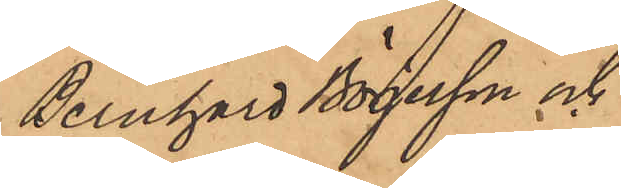Bernhard Börjesson och
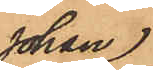Johan
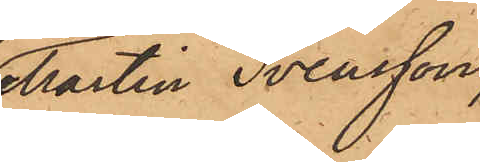Martin Svensson,
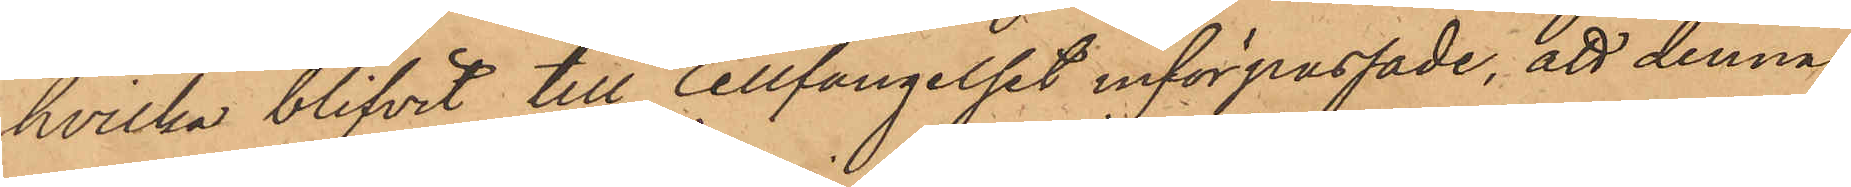hvilka blifvit till Cellfängelset införpassade, att denna
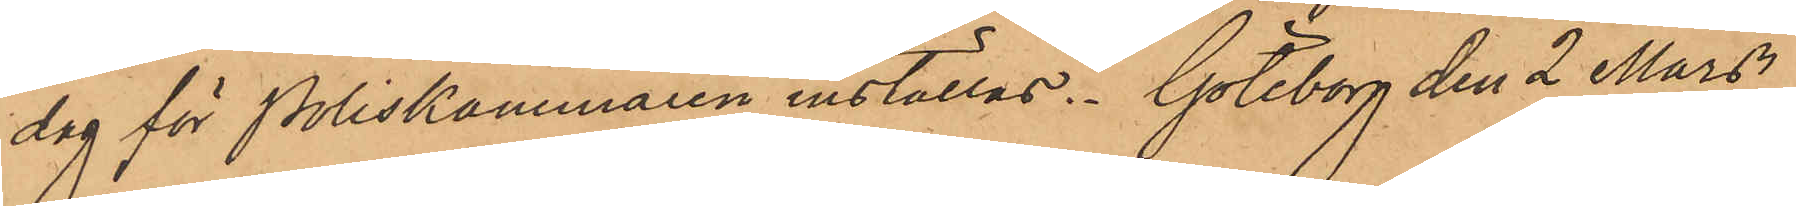dag för Poliskammaren inställas. Göteborg den 2 Mars
